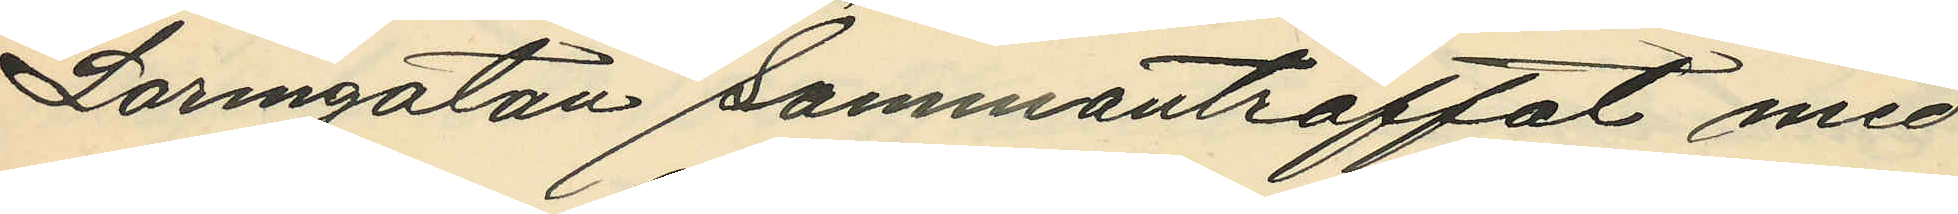Larmgatan sammanträffat med
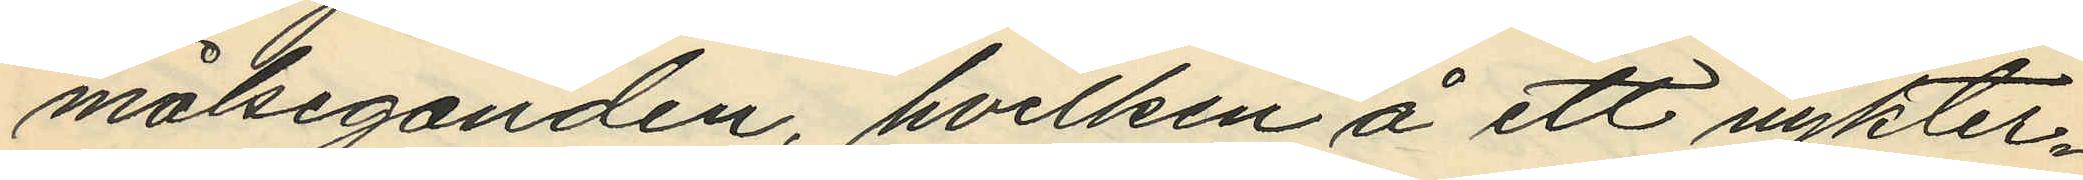målseganden, hvilken å ett nykter¬
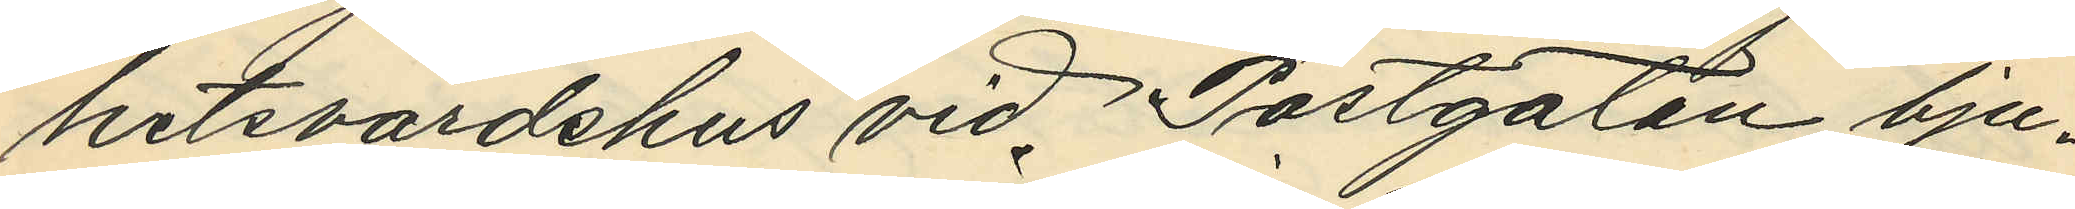hetsvärdshus vid Postgatan bju¬
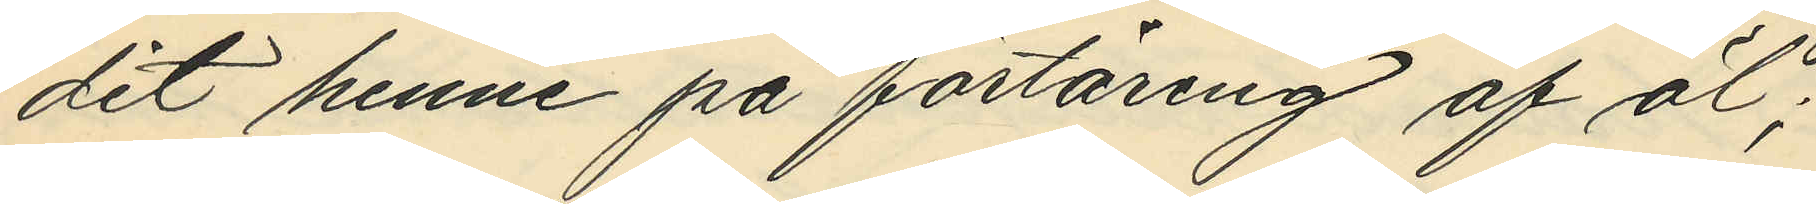dit henne på förtäring af öl;
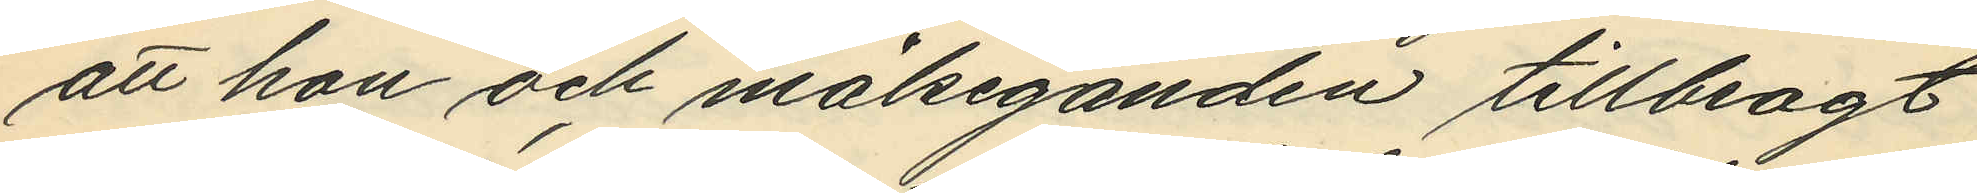att hon och målseganden tillbragt
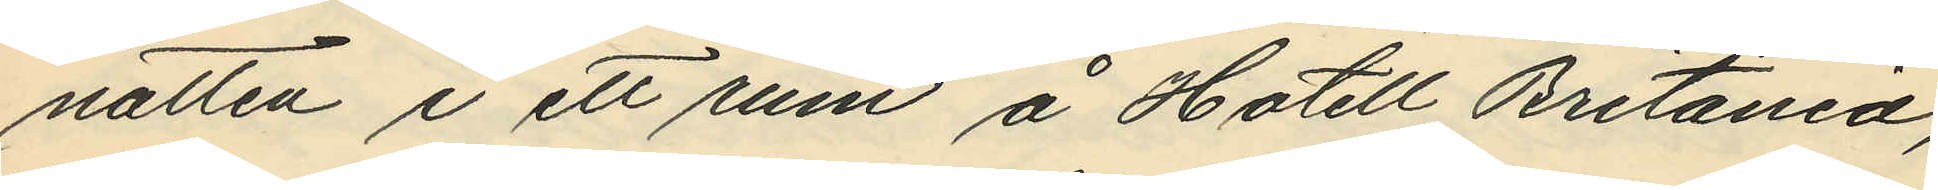natten i ett rum å Hotell Britania,
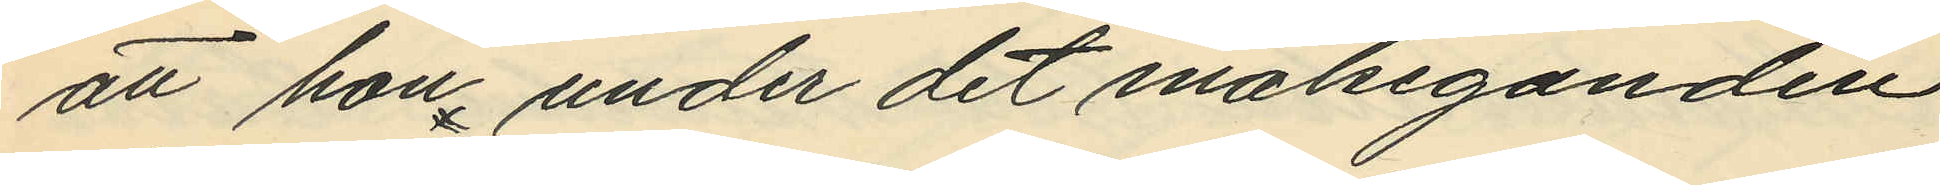att hon under det målseganden
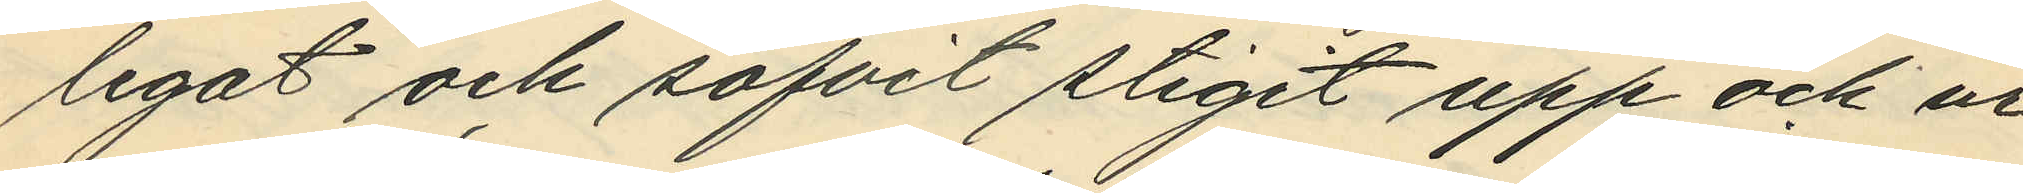legat och sofvit stigit upp och ur
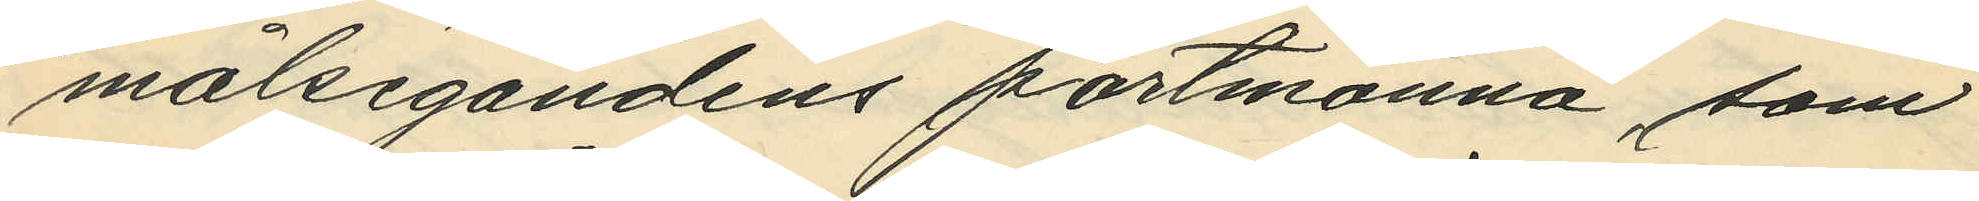målsegandens portmonnä, som
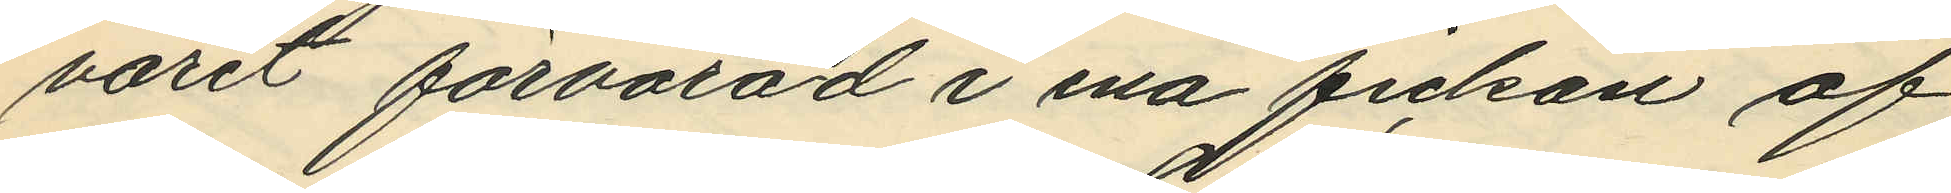varit förvarad i ena fickan af
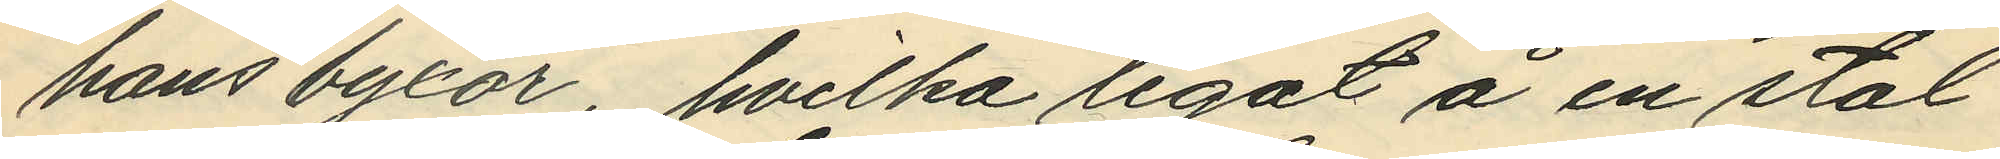hans byxor, hvilka legat å en stol
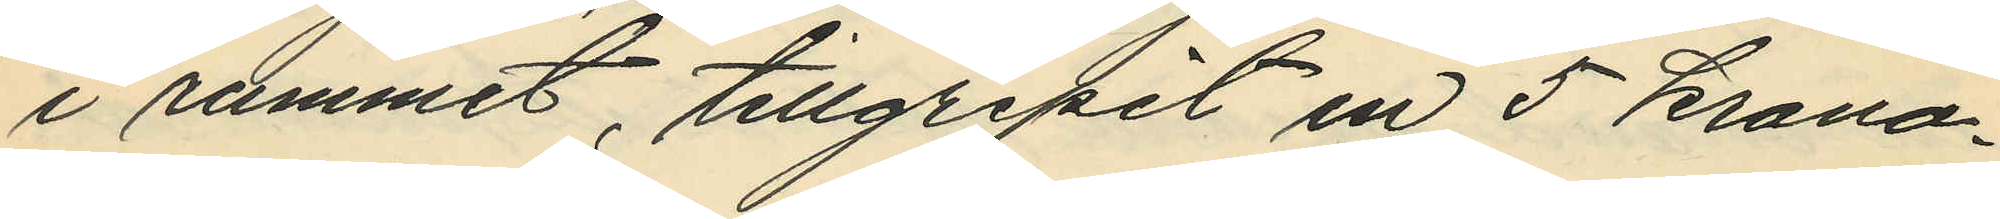i rummet, tillgripit en 5 krono¬
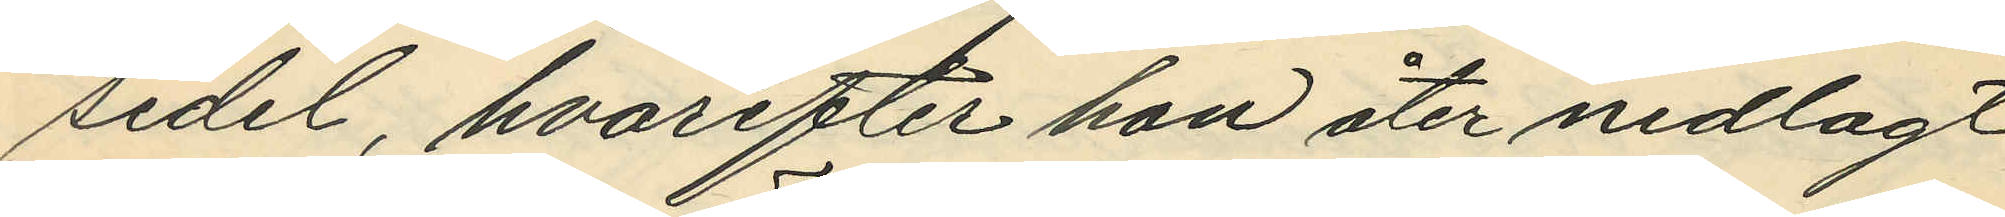sedel, hvarefter hon åter nedlagt
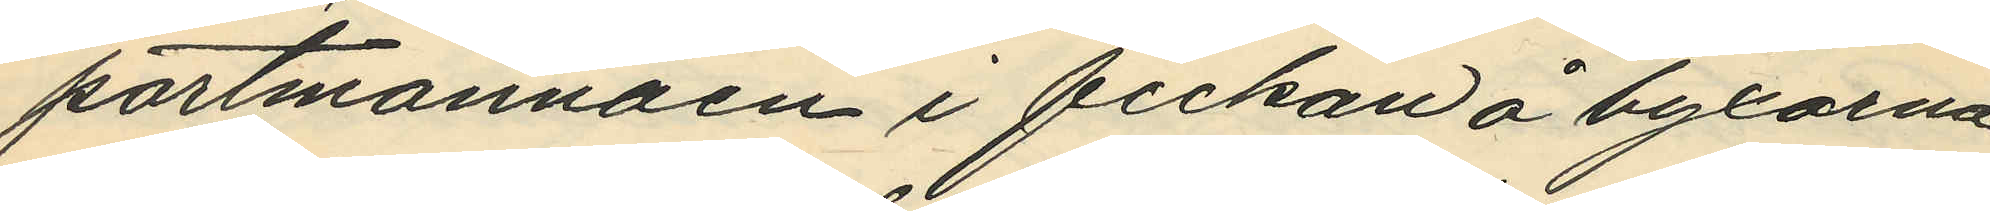portmonnäen i fickan å byxorna,
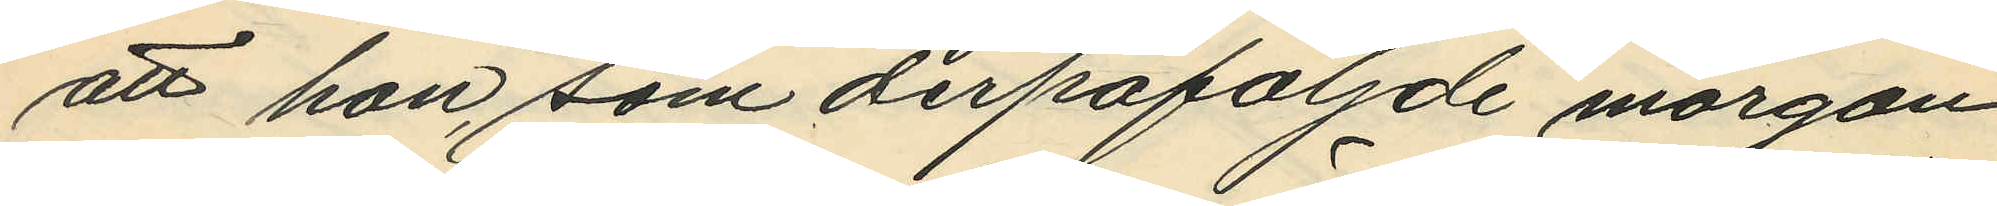att hon, som derpåföljde morgon
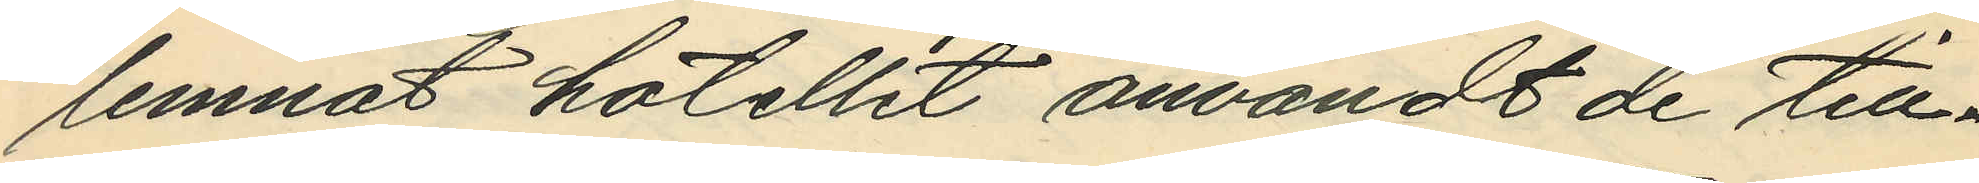lemnat hotellet användt de till¬
